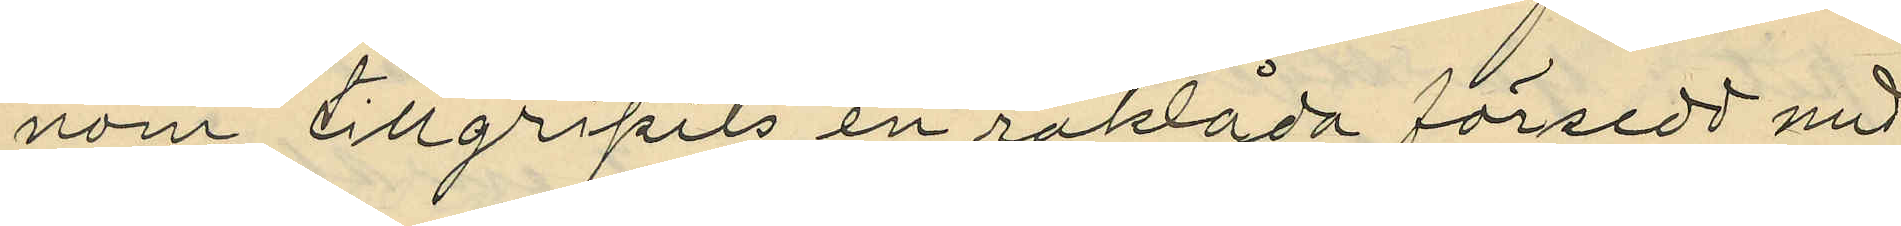nom tillgripits en raklåda försedd med
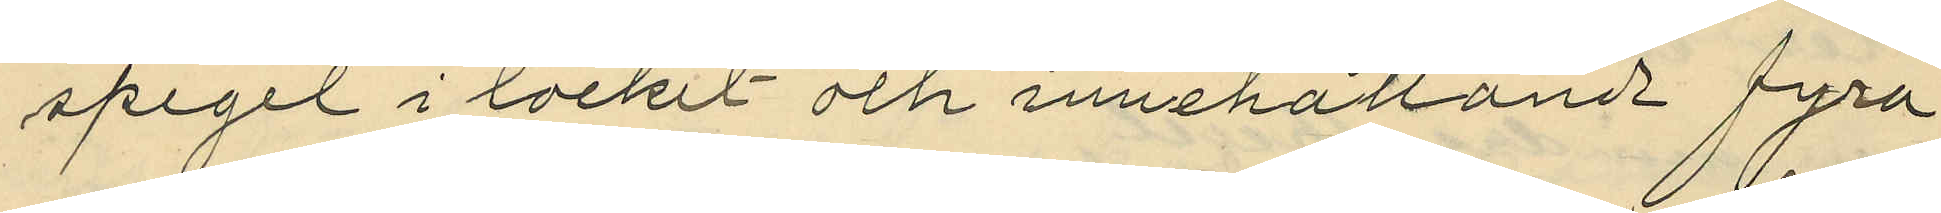spegel i locket och innehållande fyra
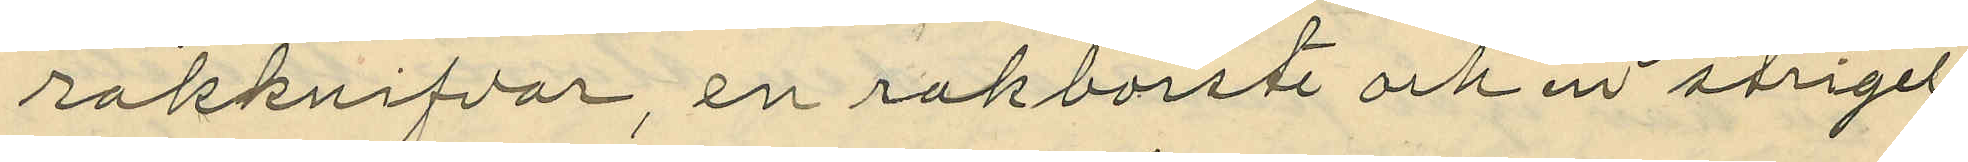rakknifvar, en rakborste och en strigel
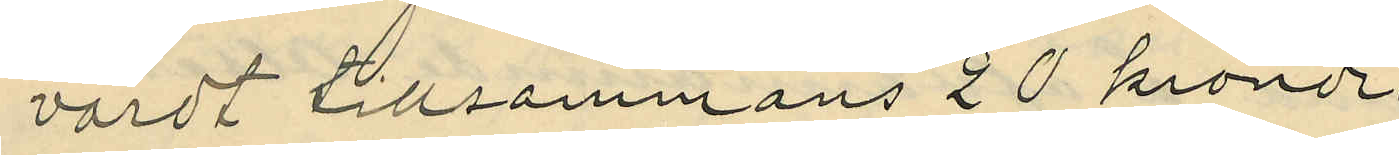värdt tillsammans 20 kronor.
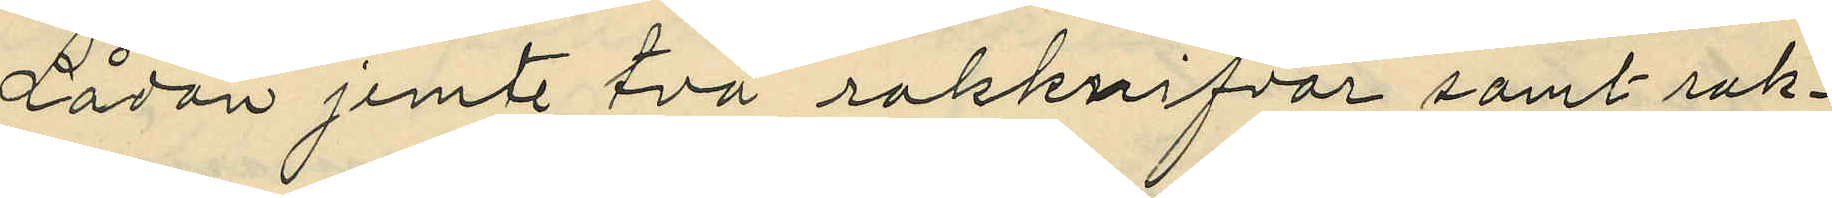Lådan jemte två rakknifvar samt rak¬
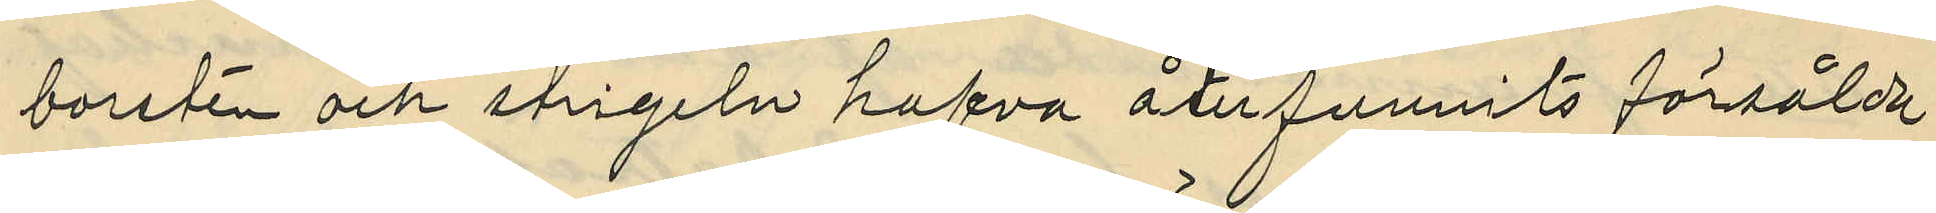borsten och strigeln hafva återfunnits försålda
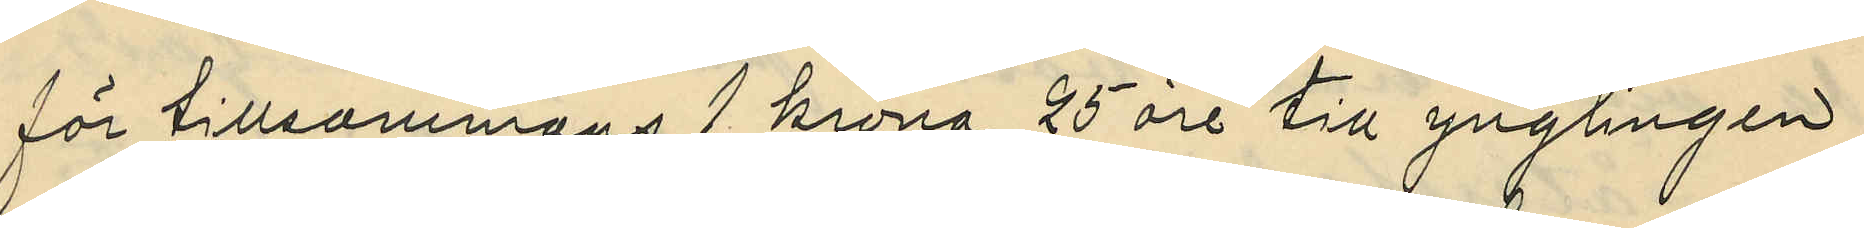för tillsammans 1 krona 25 öre till ynglingen
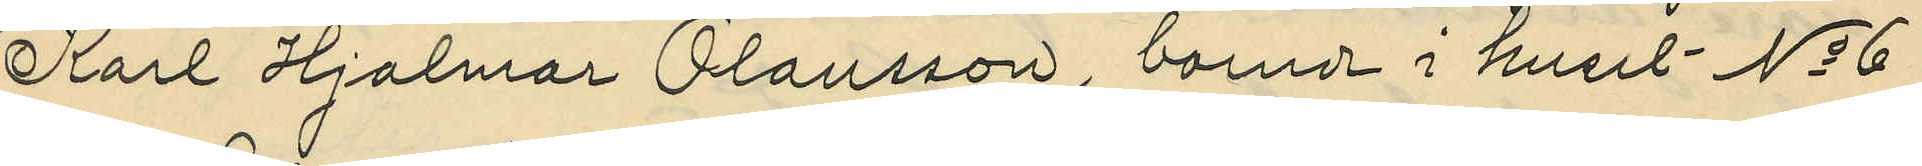Karl Hjalmar Olausson, boende i huset No 6
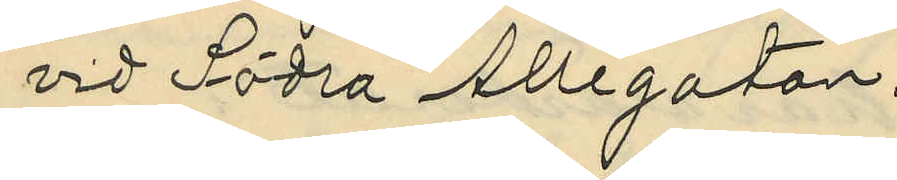vid Södra Allégatan.
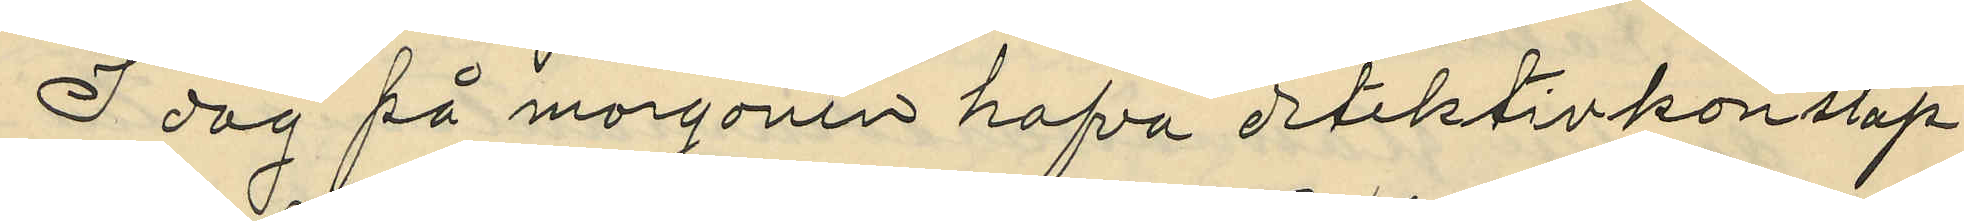I dag på morgonen hafva detektivkonstap¬
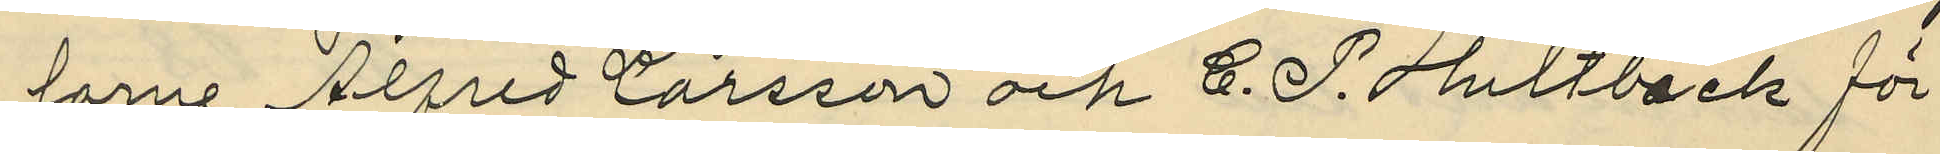larne Alfred Larsson och C. P. Hultbäck för
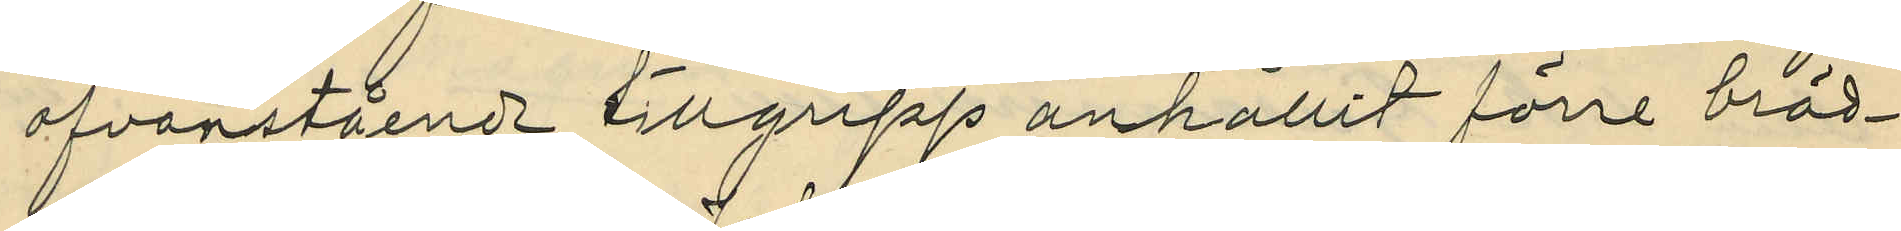ofvanstående tillgrepp anhållit förre bräd¬
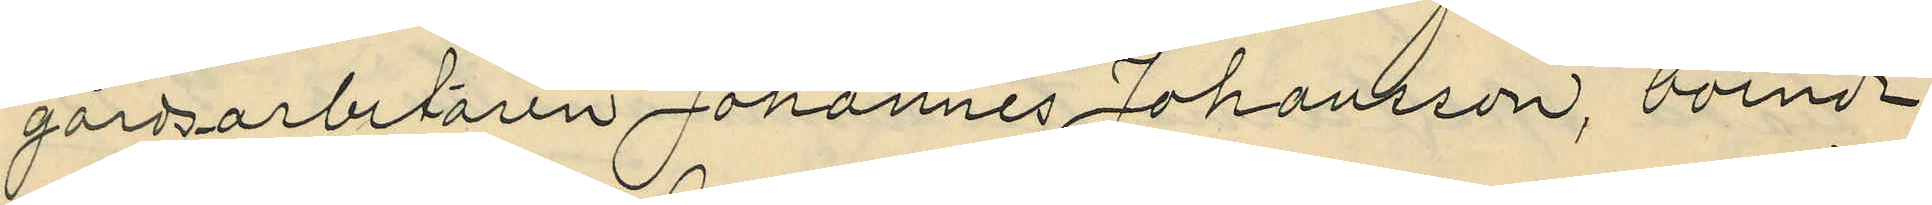gårdsarbetaren Johannes Johansson, boende
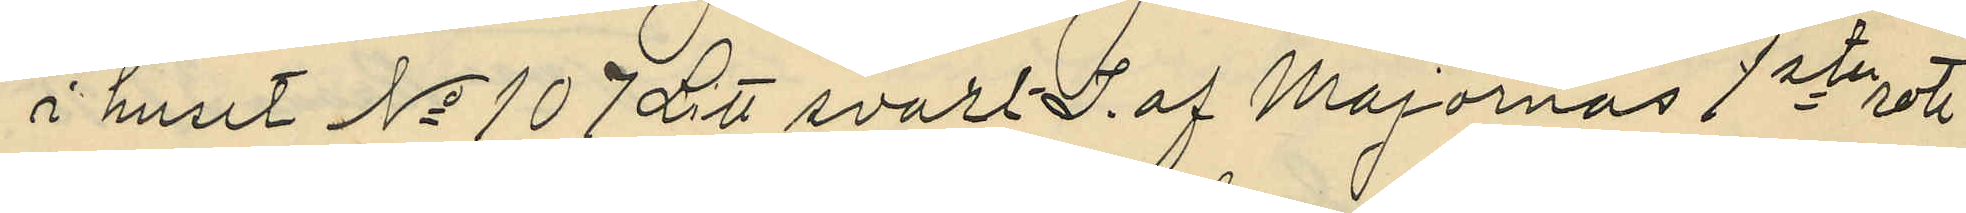i huset No 107 Litt svart J. af Majornas 1ste rote
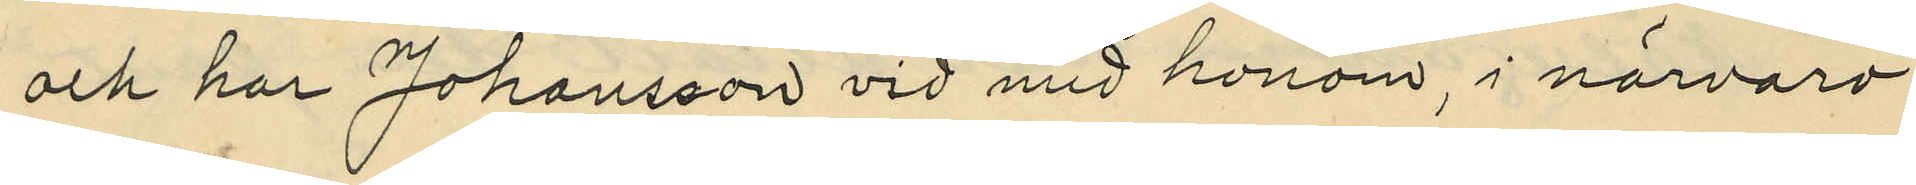och har Johansson vid med honom, i närvaro
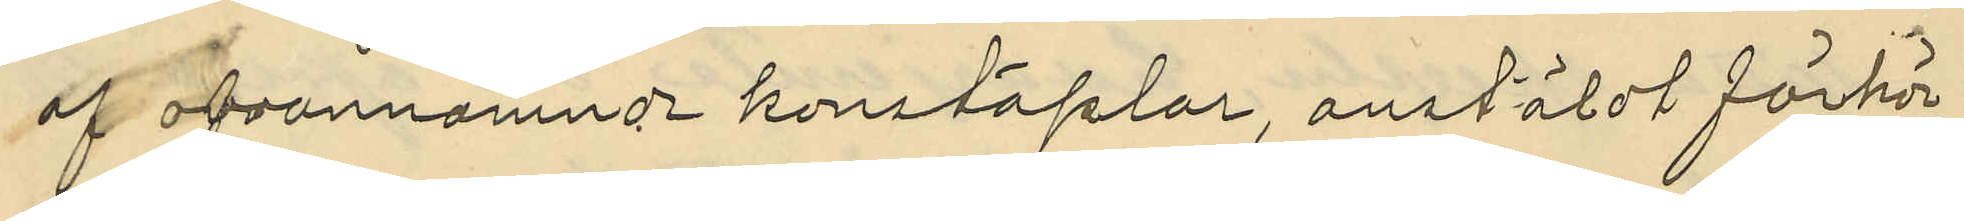ofvannämnde konstaplar, anstäldt förhör
